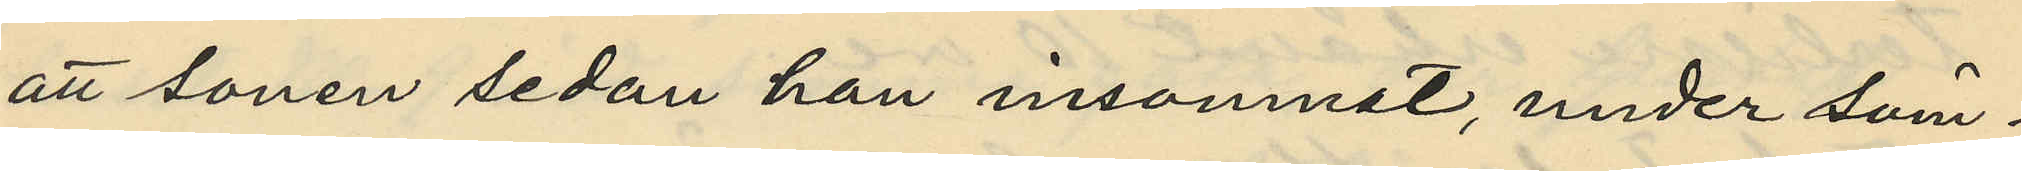att sonen sedan han insomnat, under söm¬
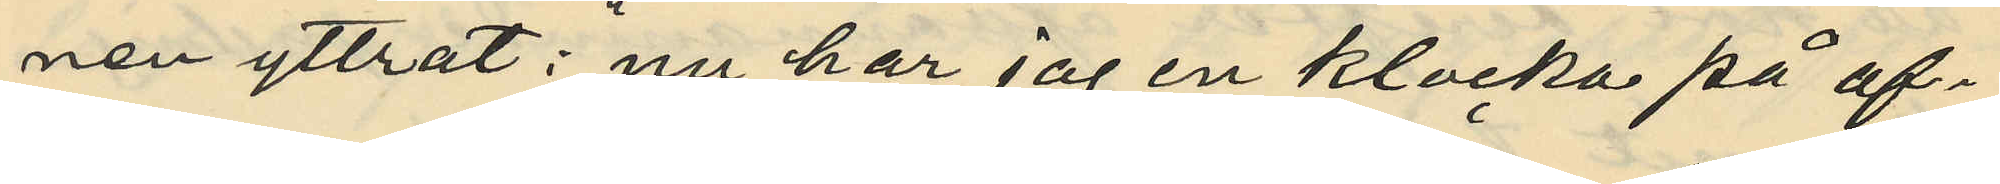nen yttrat: "nu har jag en klocka på af¬
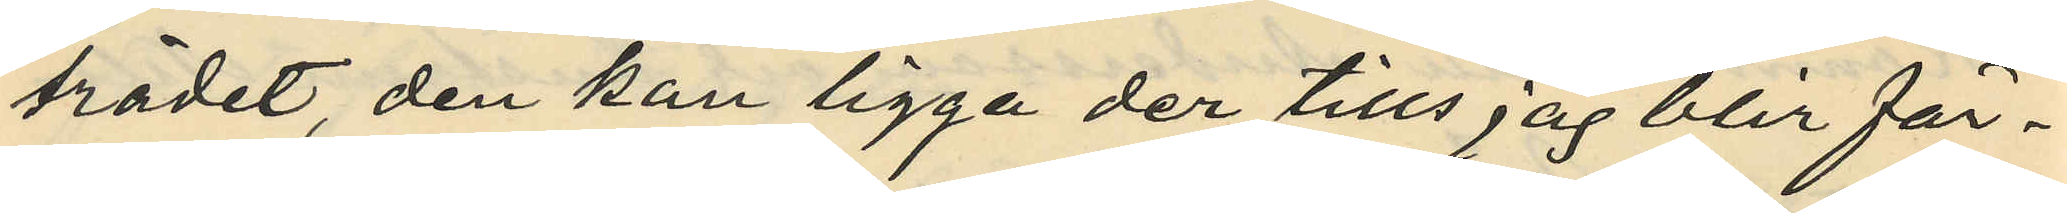trädet den kan ligga der tills jag blir fär¬
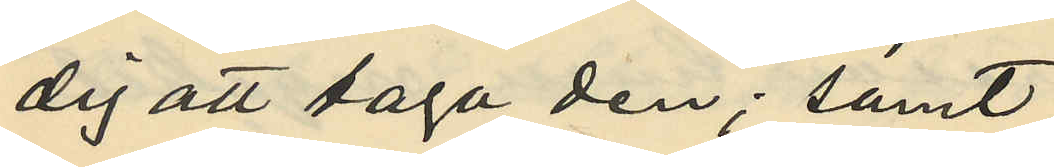dig att taga den"; samt
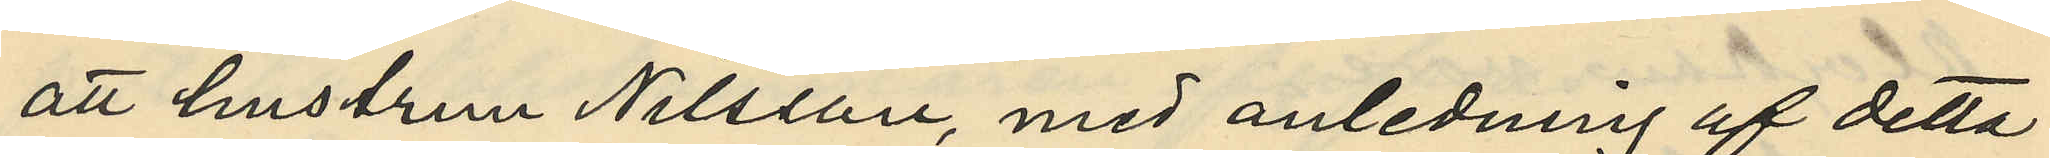att hustrun Nilsson, med anledning af detta
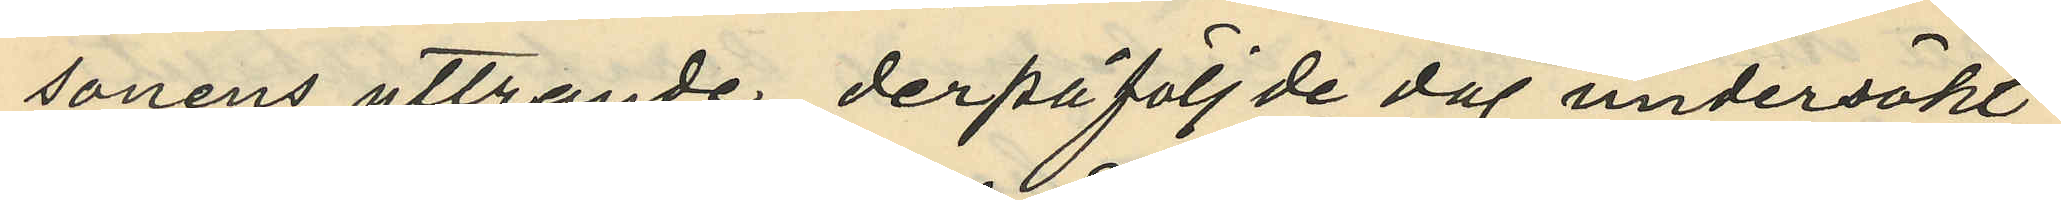sonens yttrande derpåföljde dag undersökt
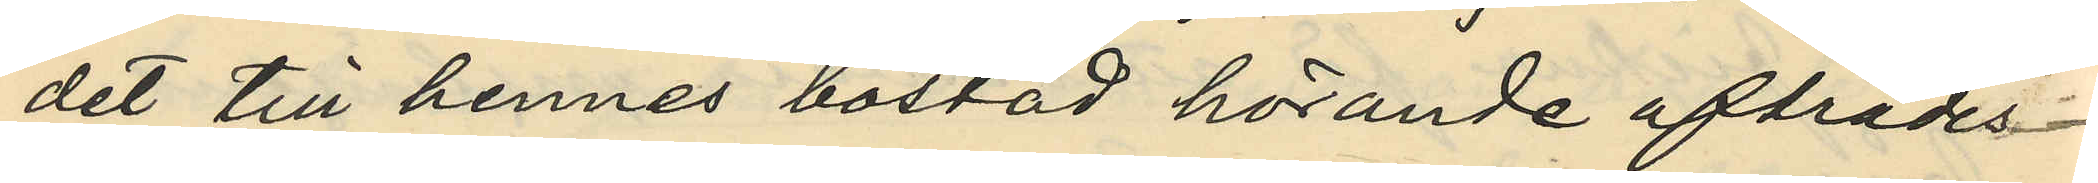det till hennes bostad hörande afträdes¬
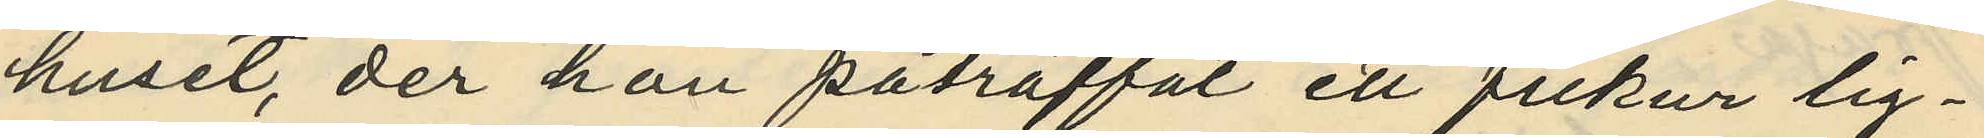huset, der hon påträffat ett fickur lig¬
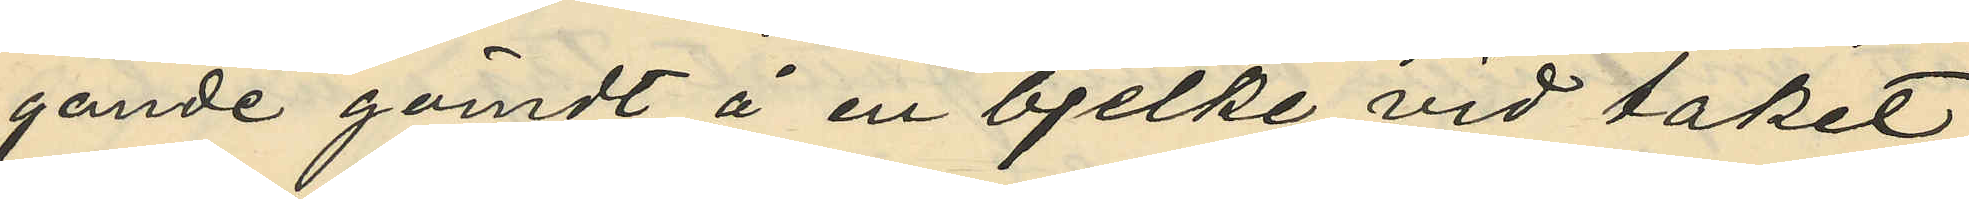gande gömdt å en bjelke vid taket
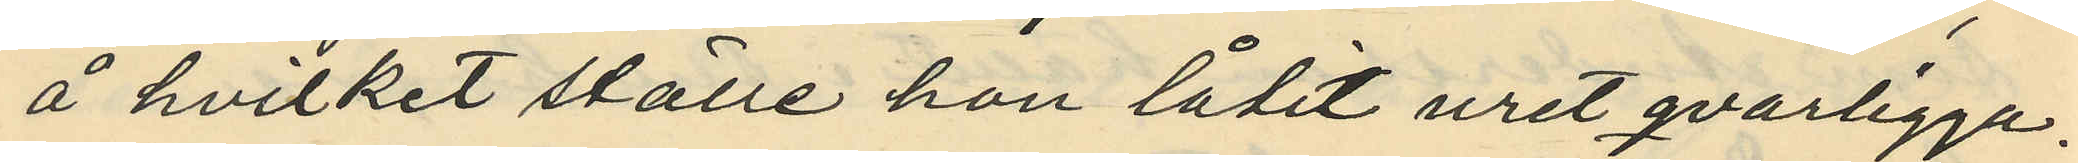å hvilket ställe hon låtit uret qvarligga.
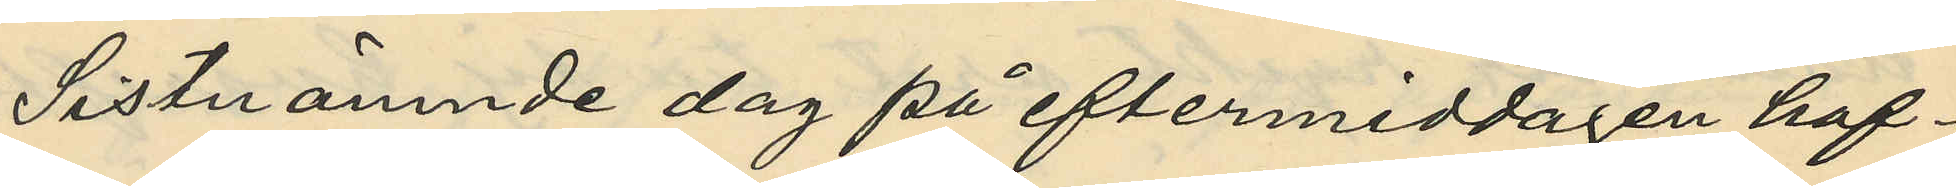Sistnämnde dag på eftermiddagen haf¬
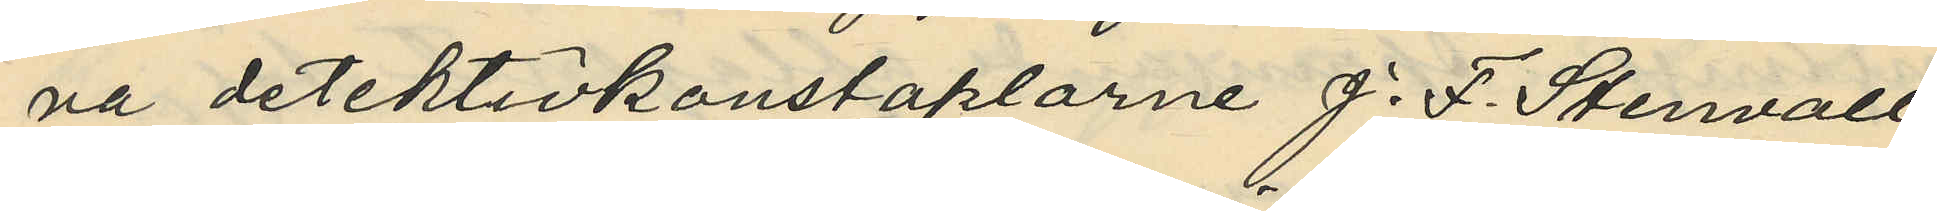va detektivkonstaplarne J. F. Stenvall
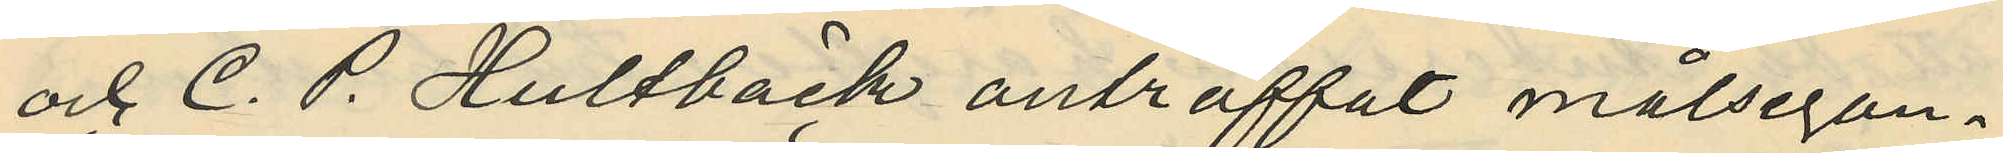och C. P. Hultbäck anträffat målsegan¬
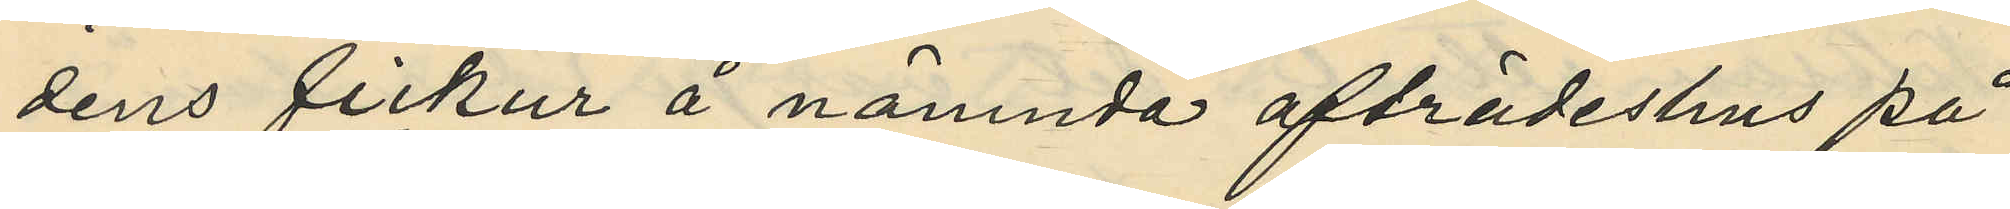dens fickur å nämnda afträdeshus på
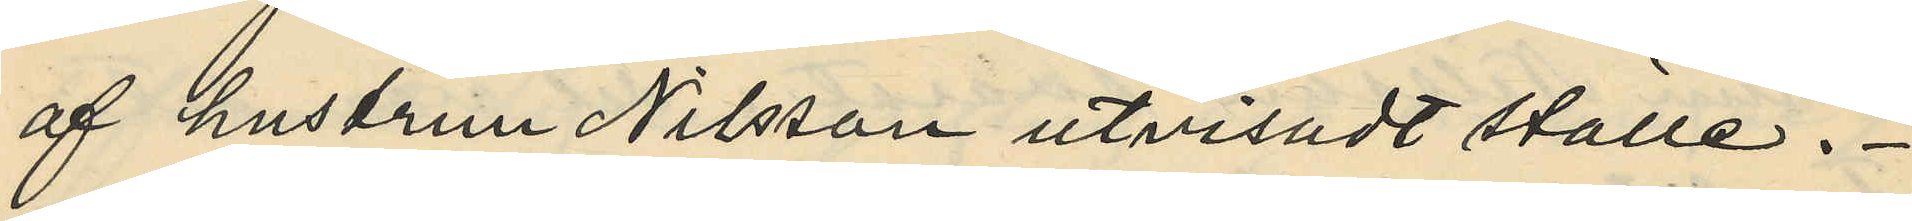af hustrun Nilsson utvisadt ställe.
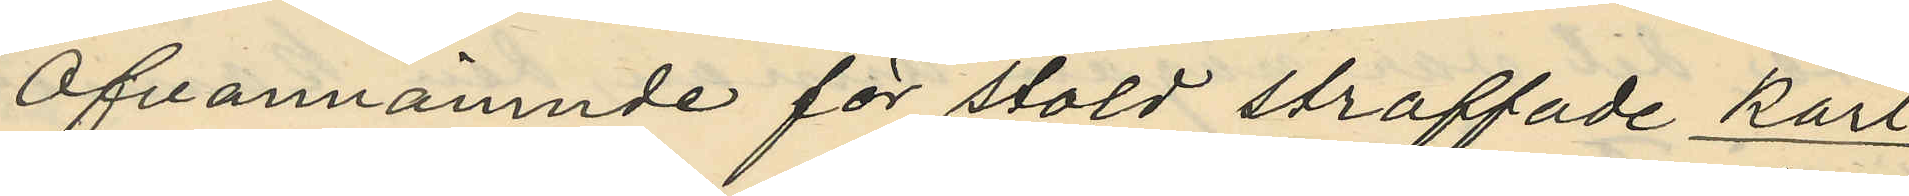Ofvannämnde för stöld straffade Karl
